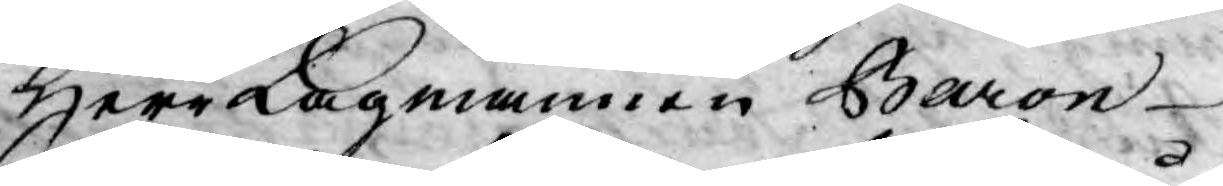Herr Lagmannen Baron
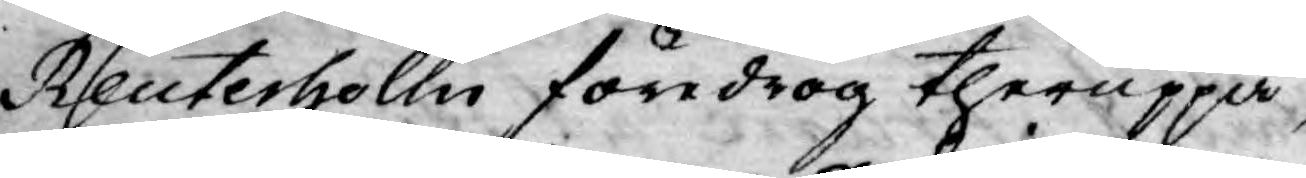Reuterholm föredrog theruppå,
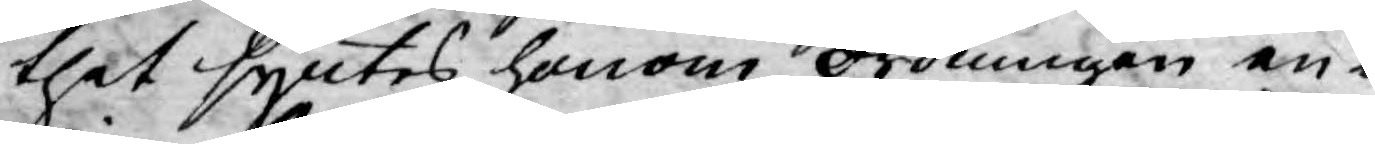thet syntes honom ordningen en¬
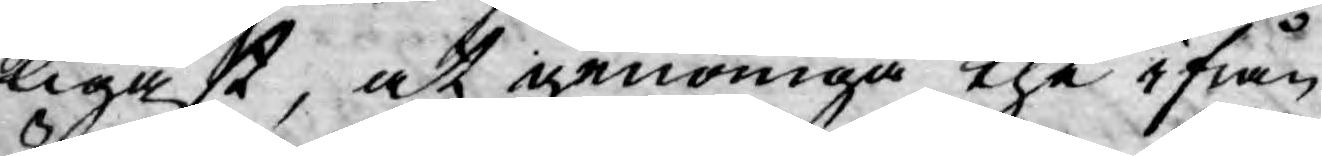ligast, at genomgå the ifrån
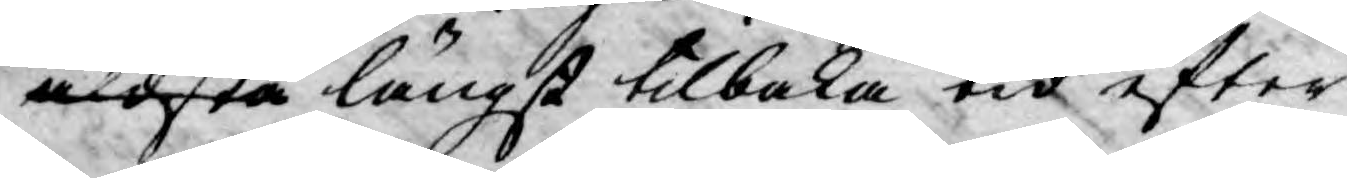äldsta längst tilbaka tid efter
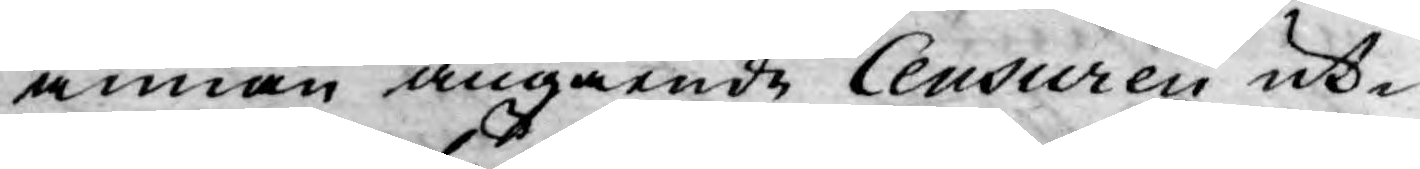annan angående Ceusuren ut¬
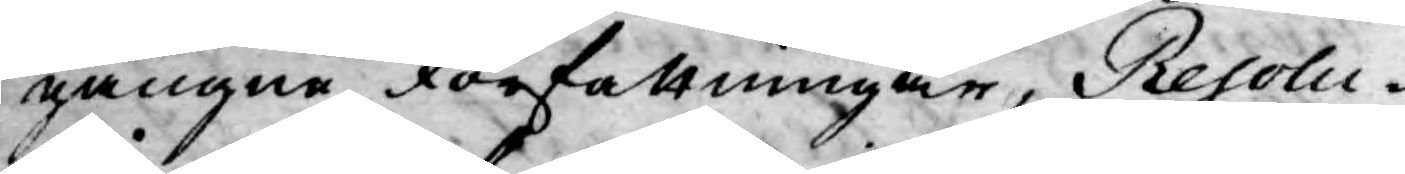gångne Författningar, Resolu¬
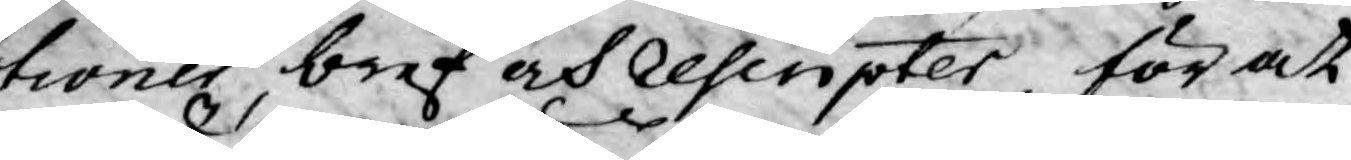tioner, bref och rescripter för at
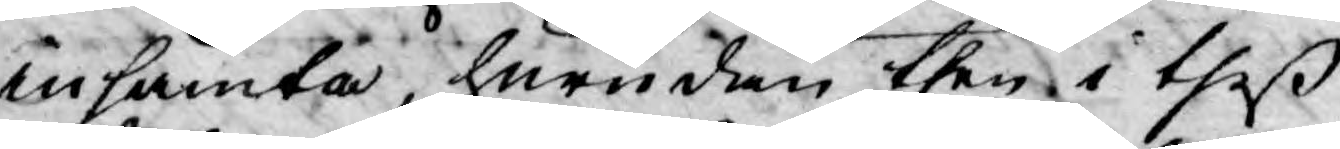insända, hurudan then i theß
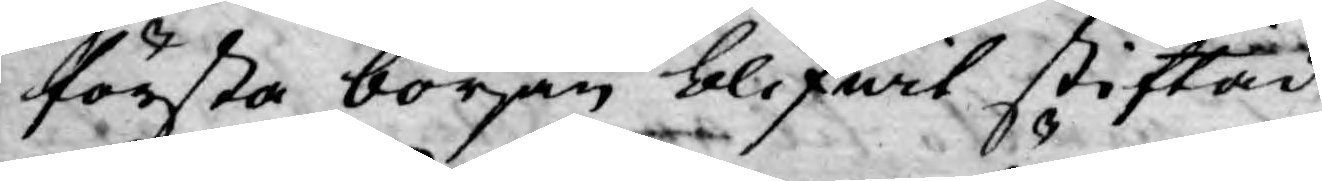första början blifwit stiftad
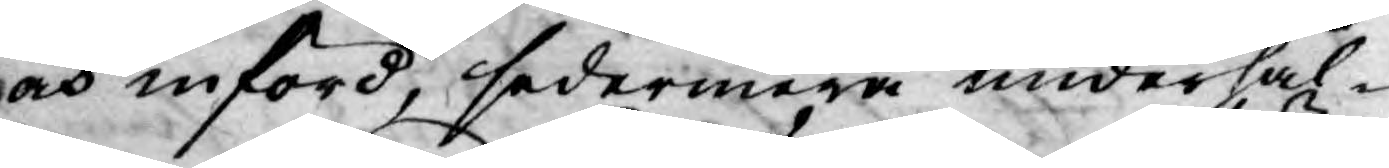och införd, sedermera underhål¬
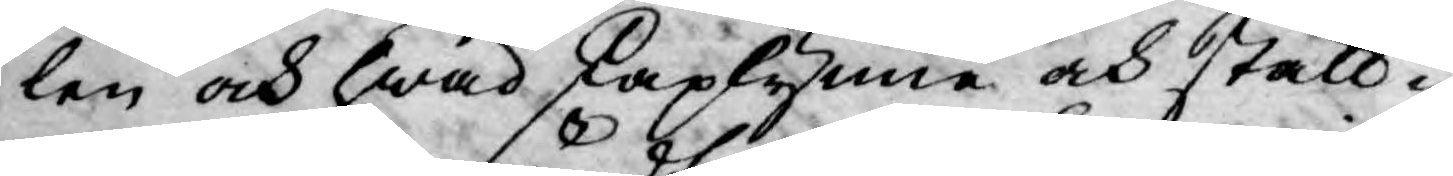len och hwad skaplynne och ställ¬
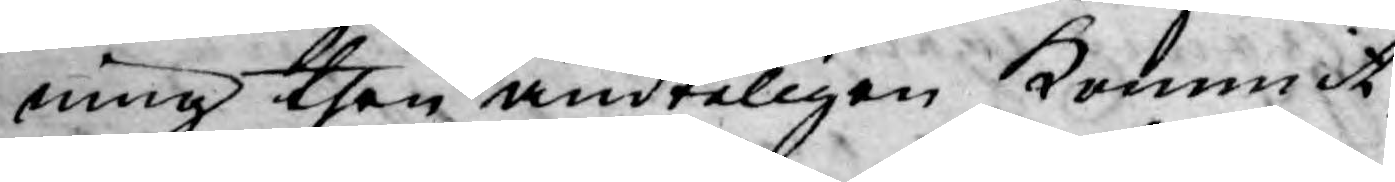ning then ändteligen kommit
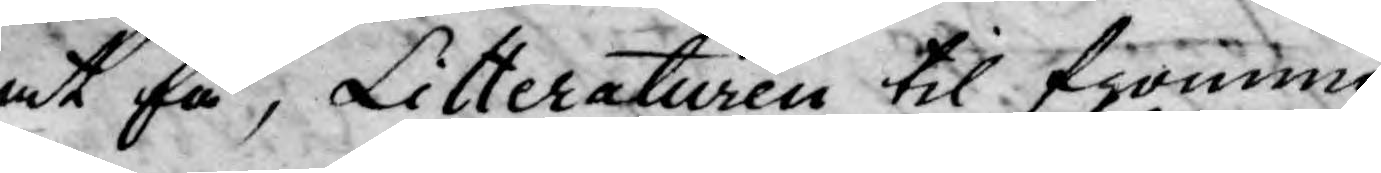at få, Litteraturen til fromma
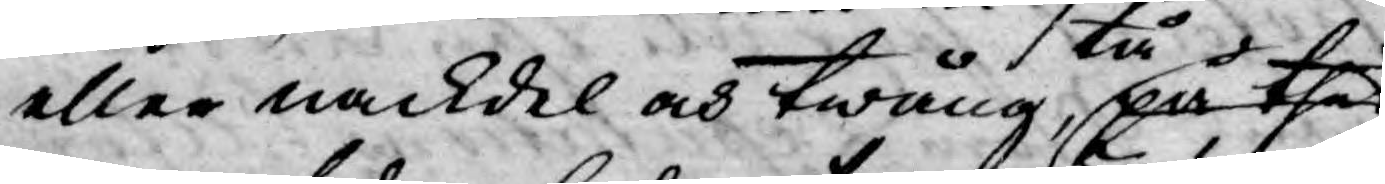eller nackdel och twång, på thet
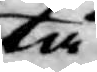tå
